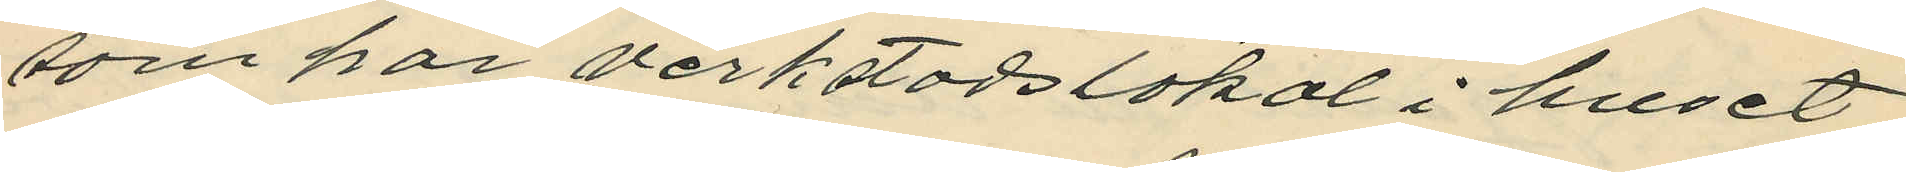som har verkstadslokal i huset
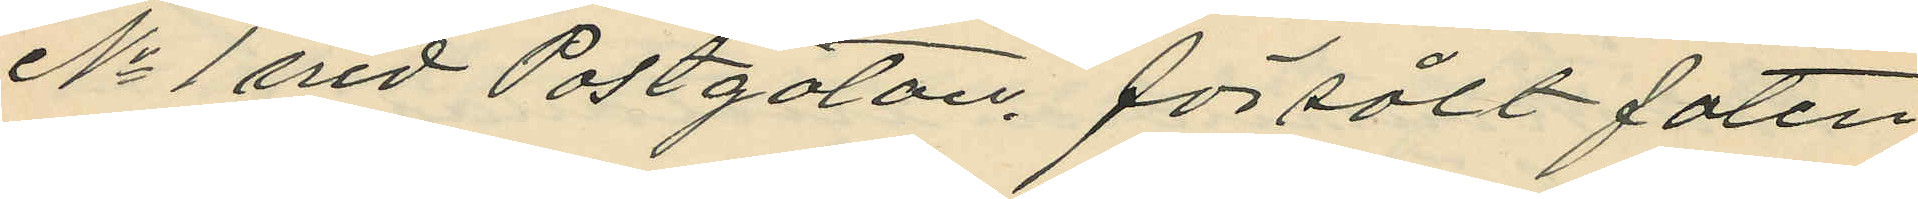No 1 vid Postgatan. försålt faten
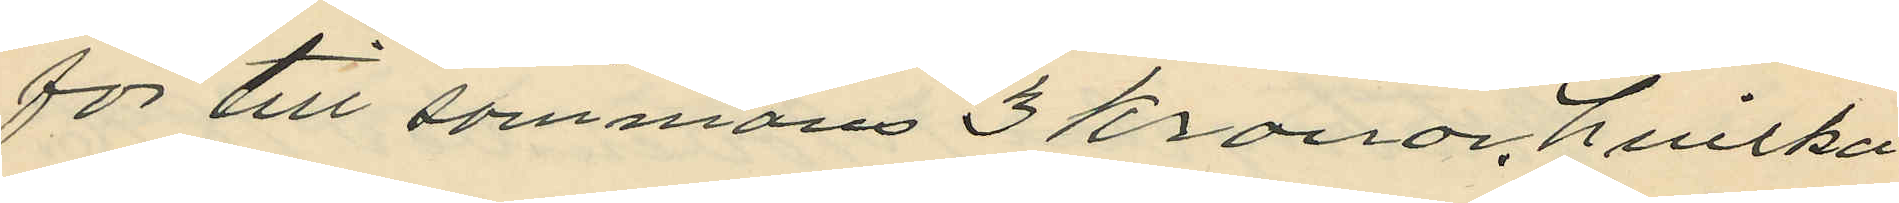för till sammans 3 Kronor, hvilka
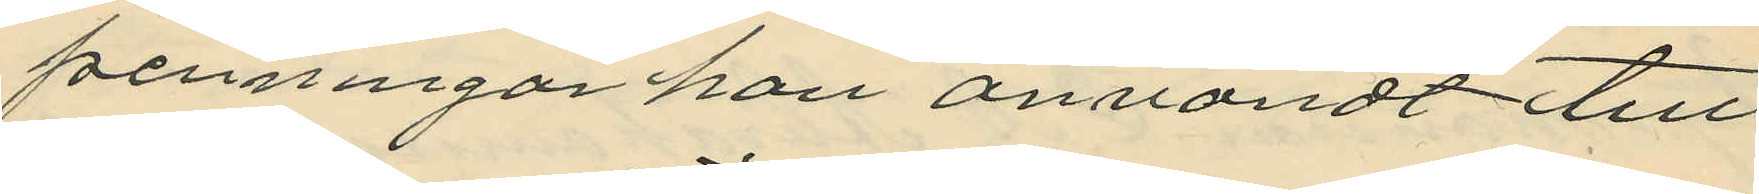penningar han användt till
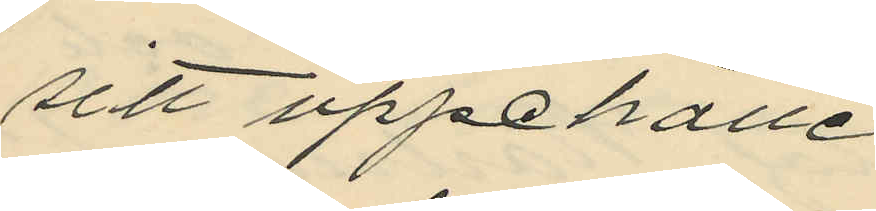sitt uppehälle
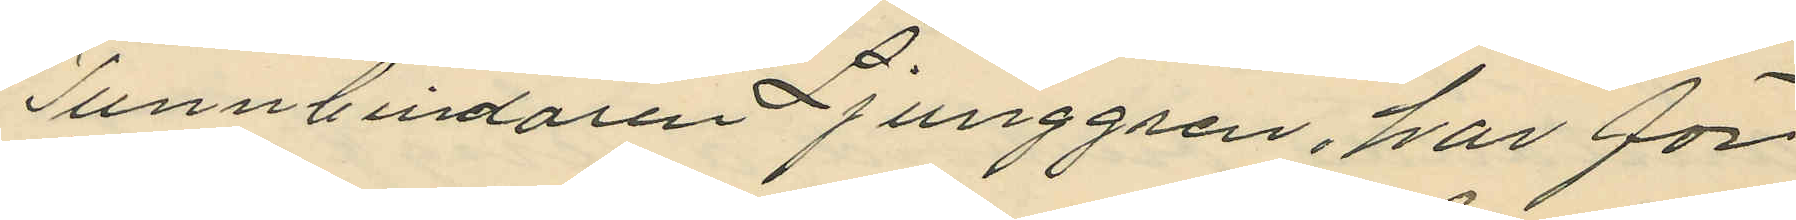Tunnbindaren Ljunggren, har för¬
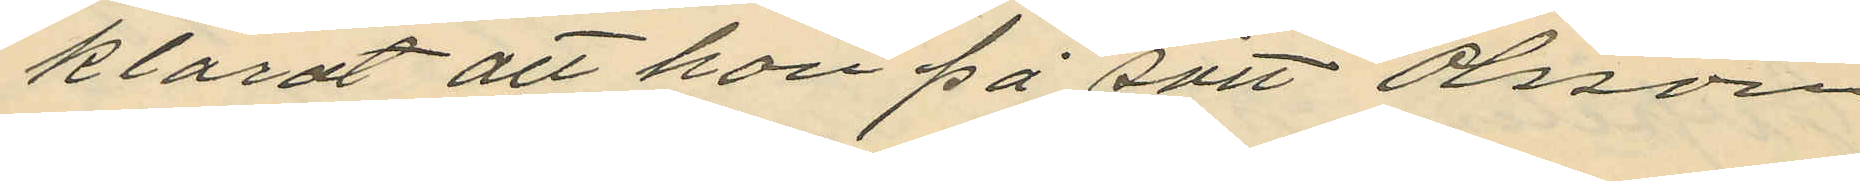klarat att han på sätt Olsson
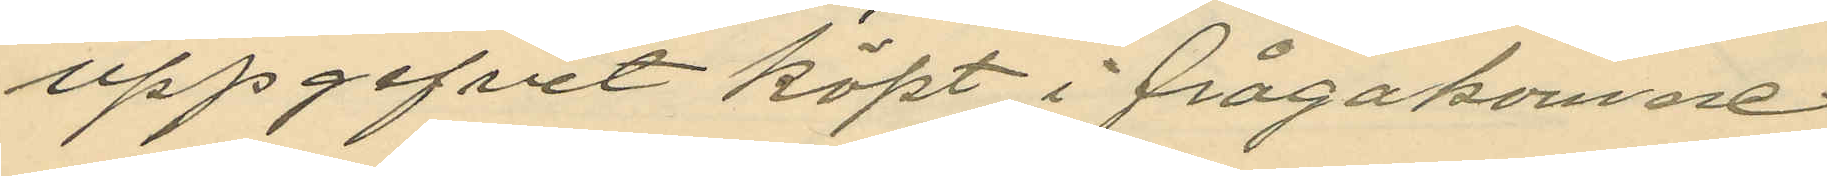uppgifvit köpt i frågakomne
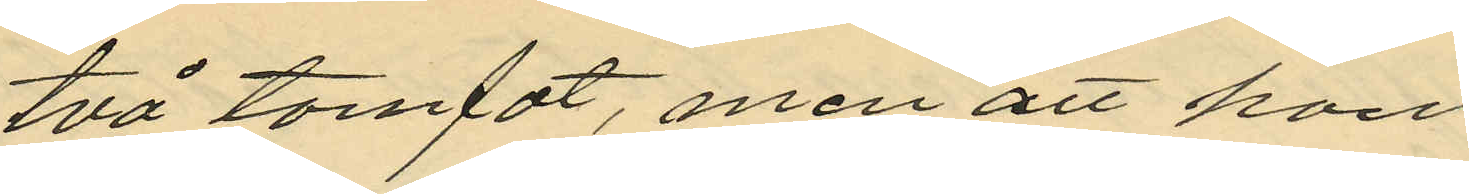två tomfat, men att han
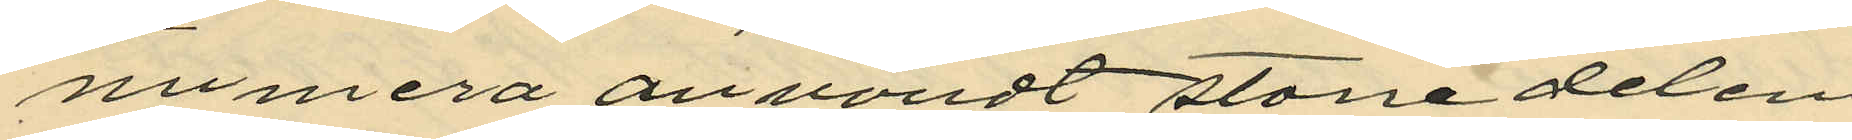numera användt större delen
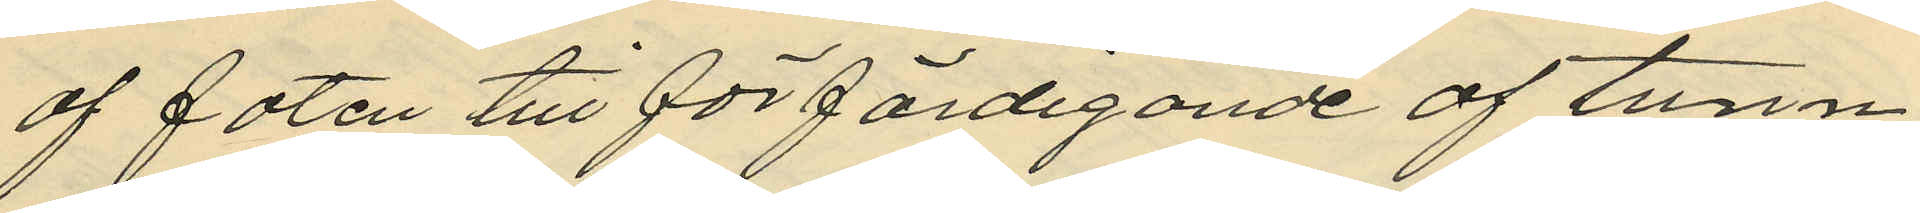af faten till förfärdigande af tunn¬
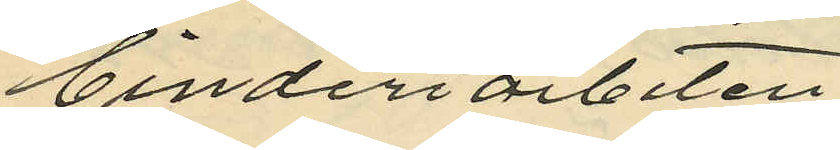binderiarbeten.
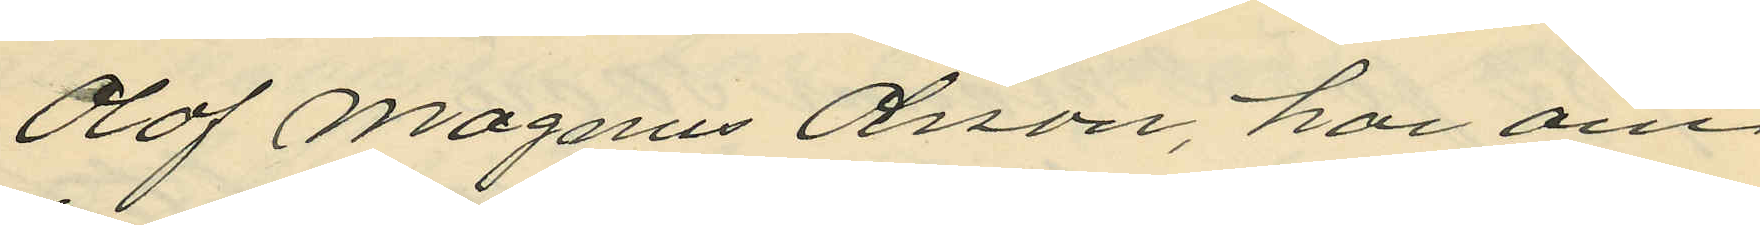Olof Magnus Olsson, har om
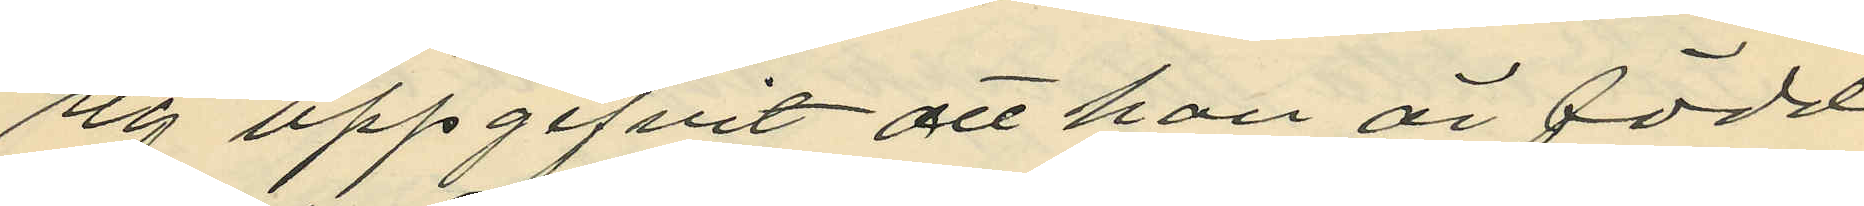sig uppgifvit att han är född
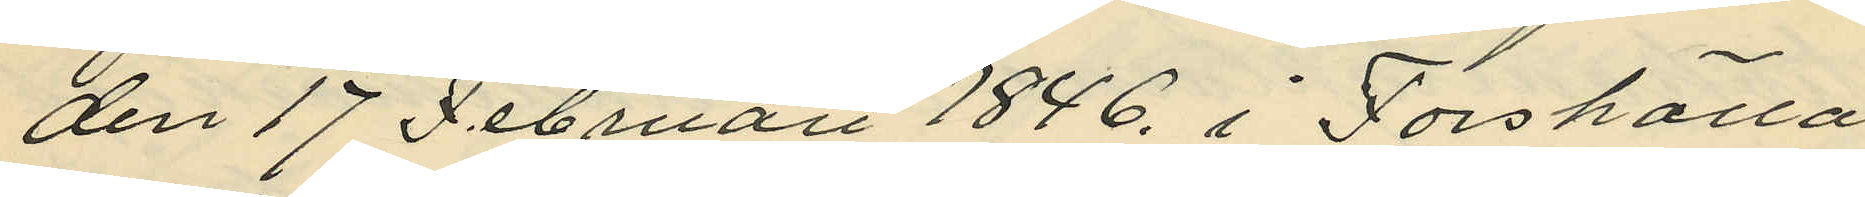den 17 Februari 1846, i Forshälla
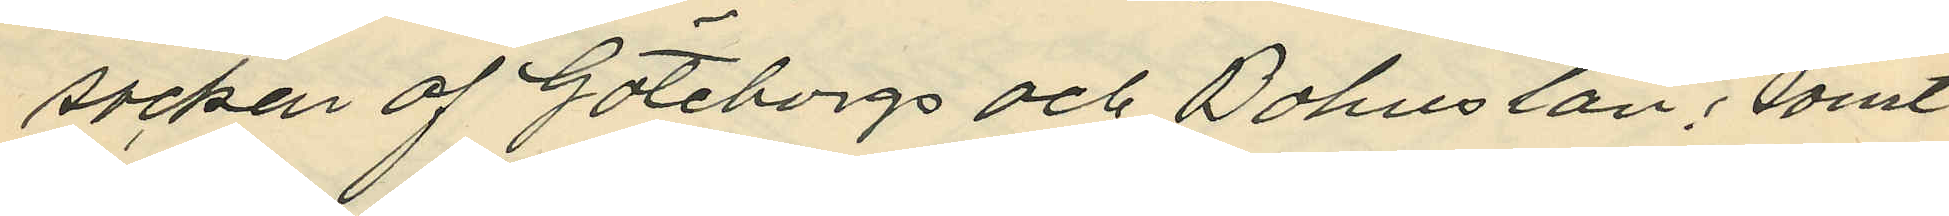socken af Göteborgs och Bohus län; samt
